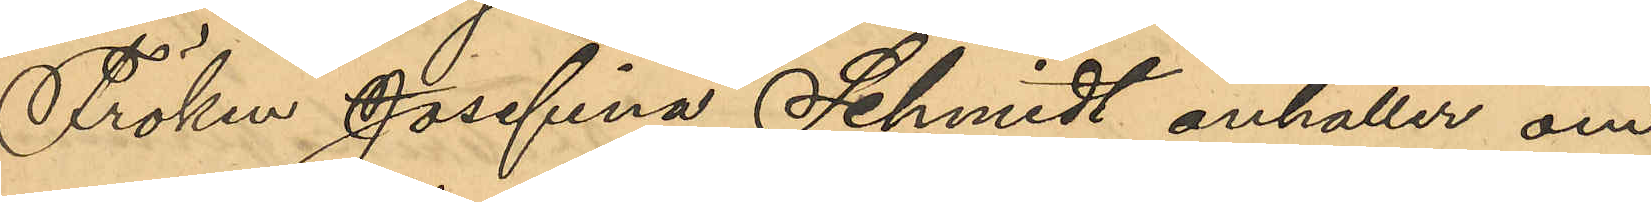Fröken Josefina Schmidt anhåller om
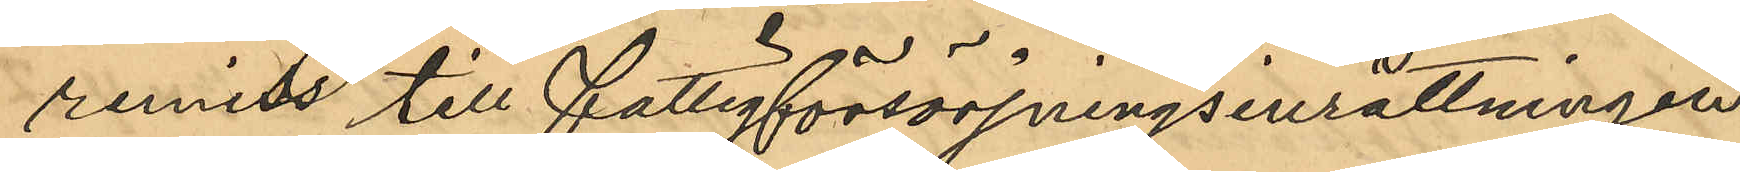remiss till fattigförsörjningsinrättningen
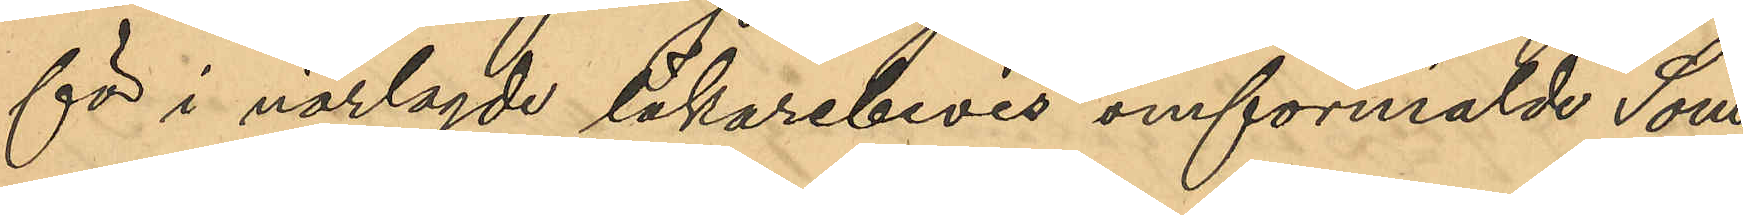för i närlagde läkarebevis omförmälde Söm¬
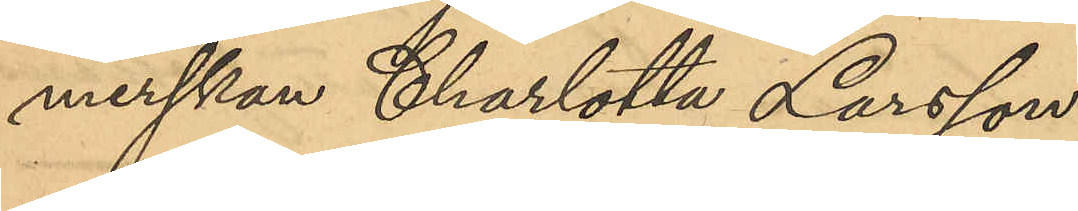merskan Charlotta Larsson.
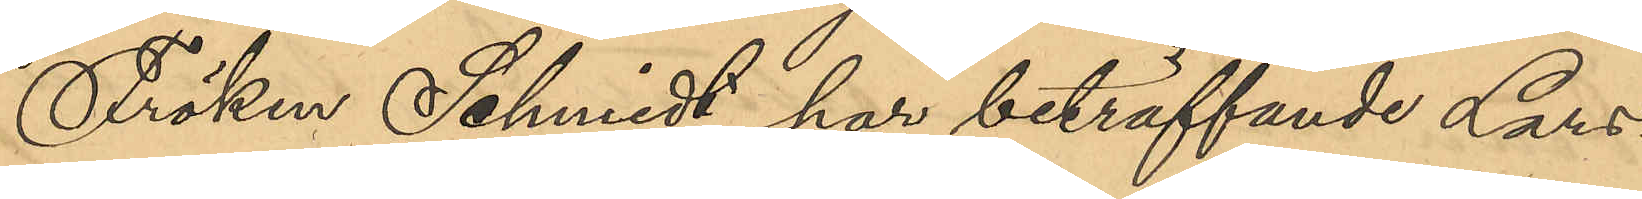Fröken Schmidt har beträffande Lars¬
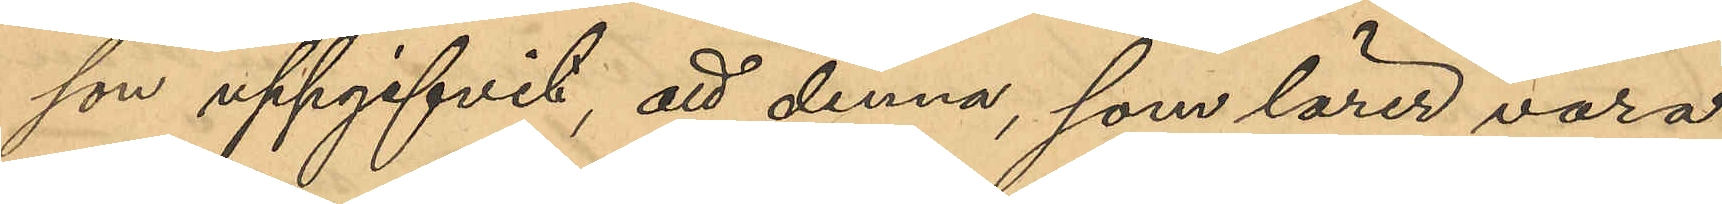son uppgifvit, att denna, som lärer vara
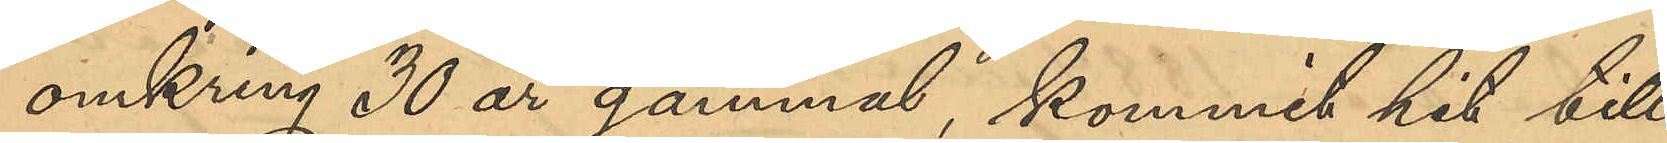omkring 30 år gammal, kommit hit till
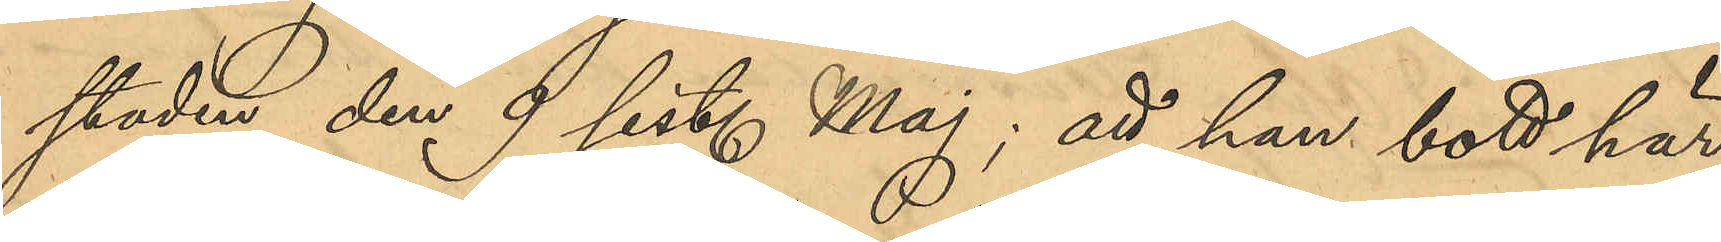staden den 9 sist. Maj; att hon bott här
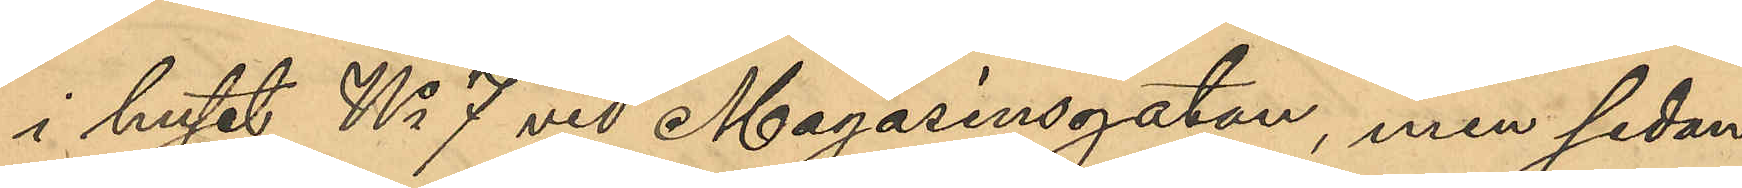i huset No 7 vid Magasinsgatan, men sedan
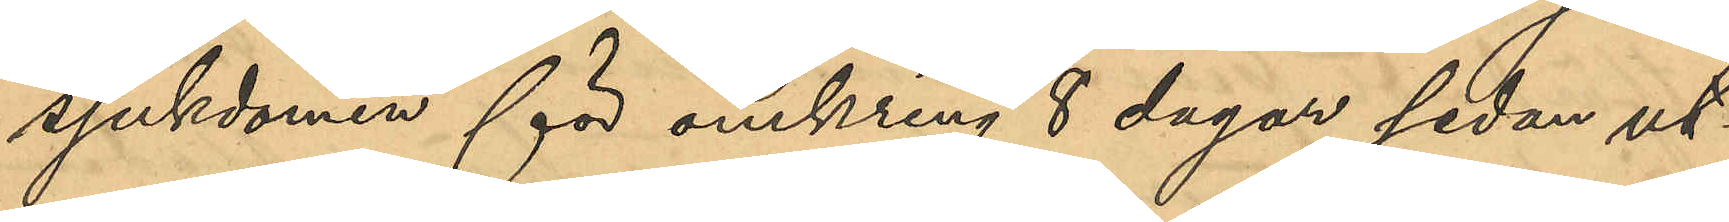sjukdomen för omkring 8 dagar sedan ut¬
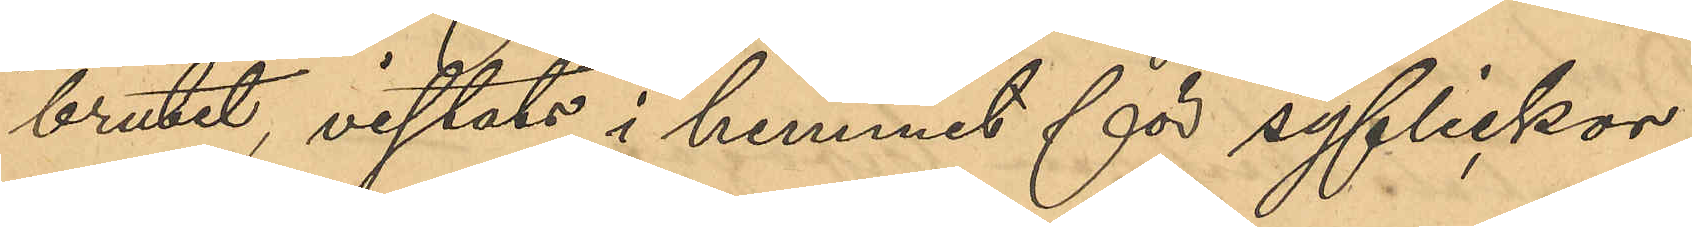brutet vistats i hemmet för syflickor;
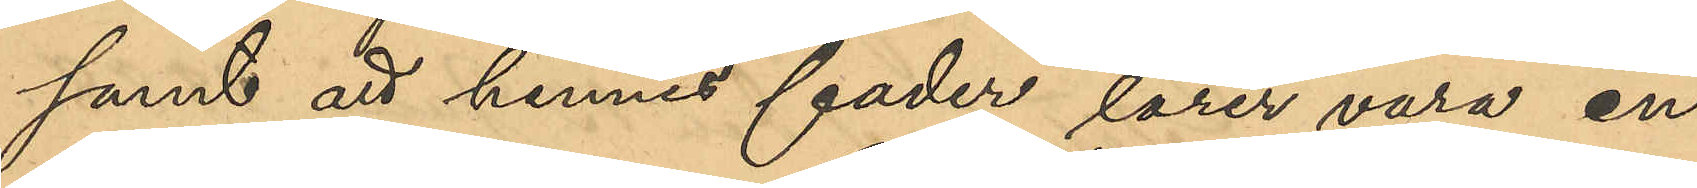samt att hennes fader lärer vara en
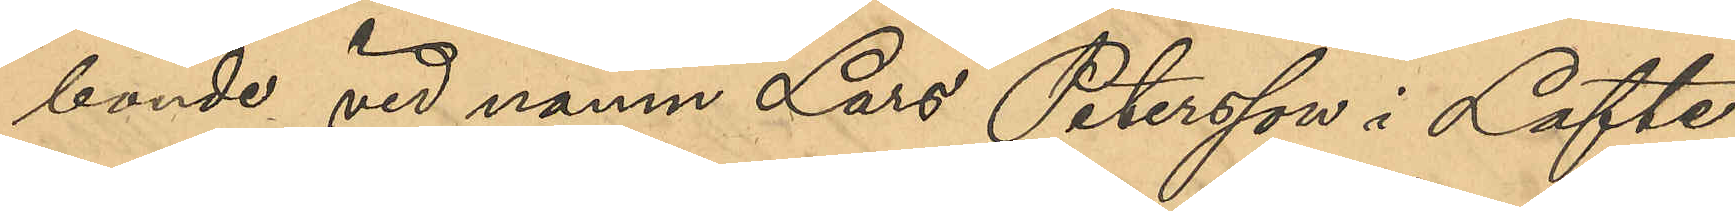bonde vid namn Lars Petersson i Lofte¬
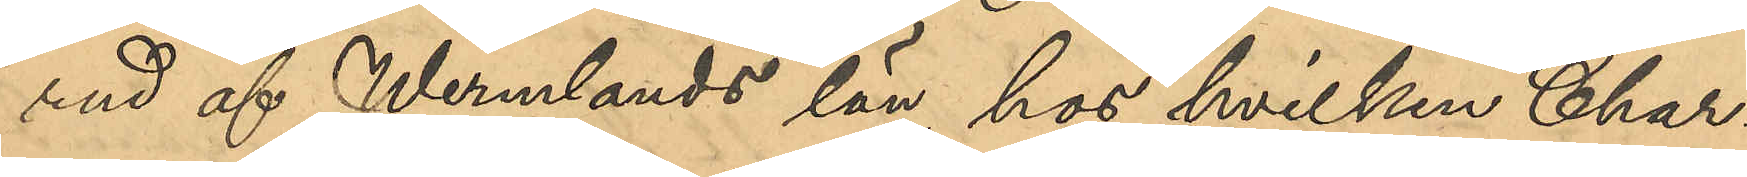                                                                                                            rud af Wermlands län, hos hvilken Char¬                                                                                                             
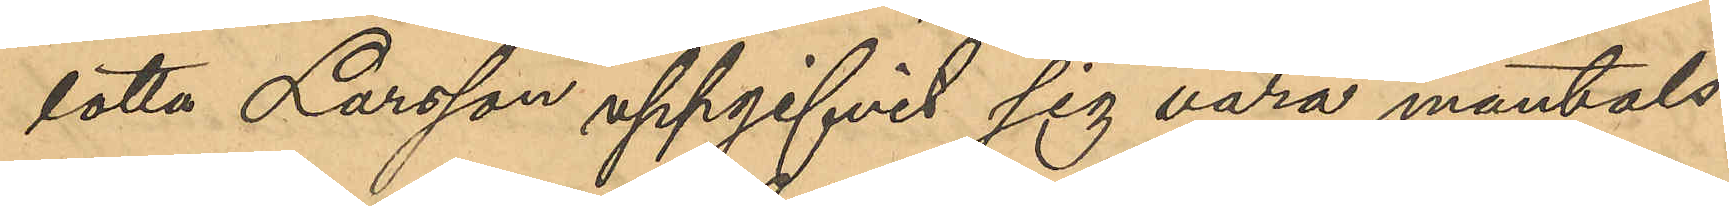lotta Larsson uppgifvit sig vara mantals¬
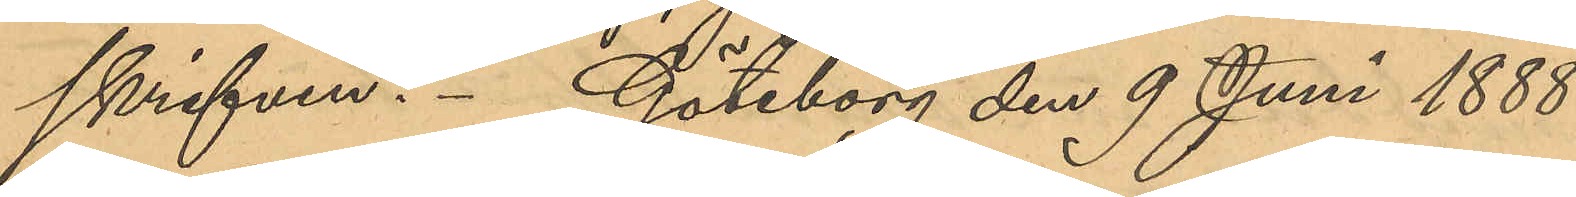skrifven. Göteborg den 9 Juni 1888.
